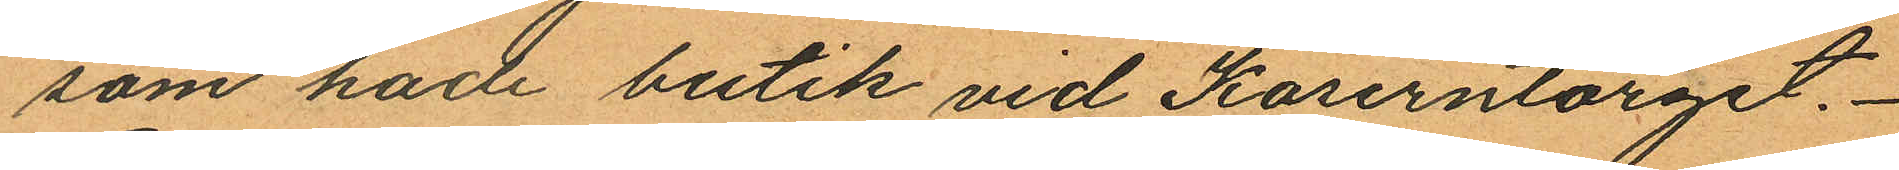som hade butik vid Kaserntorget.
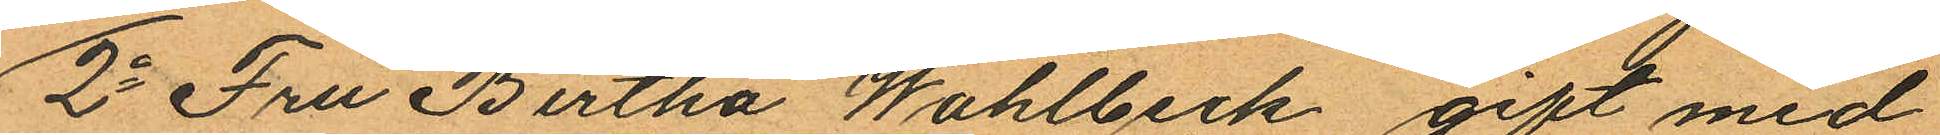2o Fru Bertha Wahlbeck, gift med
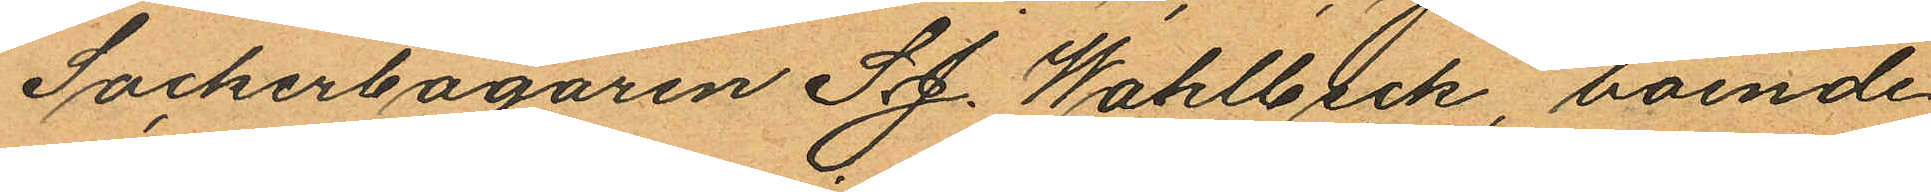Sockerbagaren S J. Wahlbeck, boende
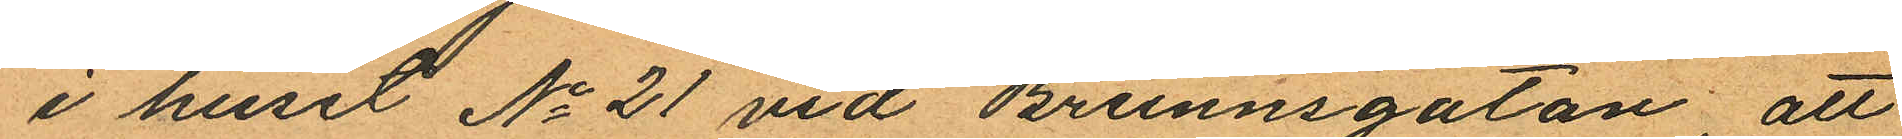i huset No 21 vid Brunnsgatan, att
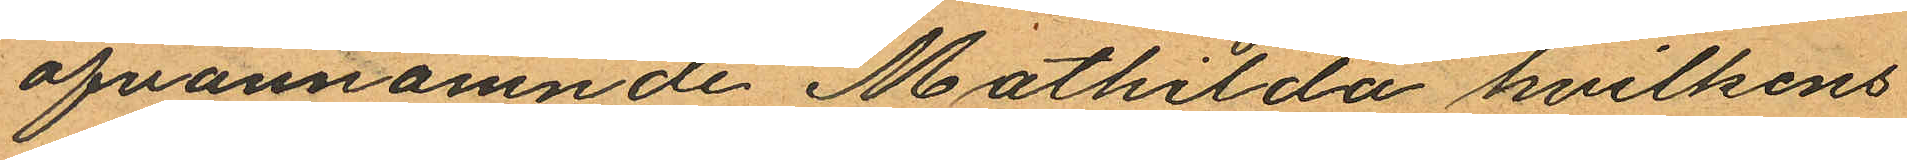ofvannamnde Mathilda hvilkens
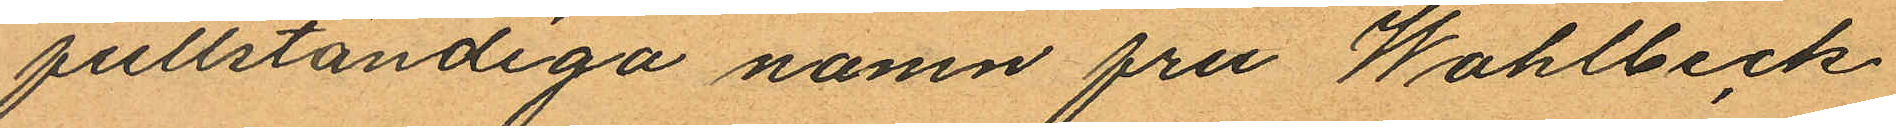fullständiga namn fru Wahlbeck
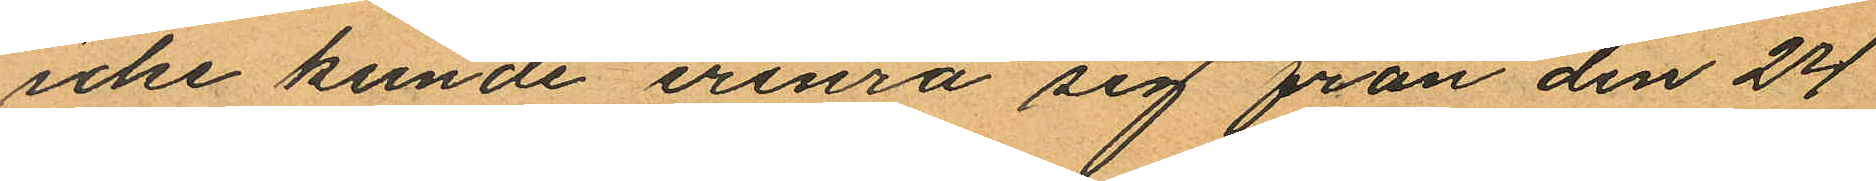icke kunde erinra sig från den 24
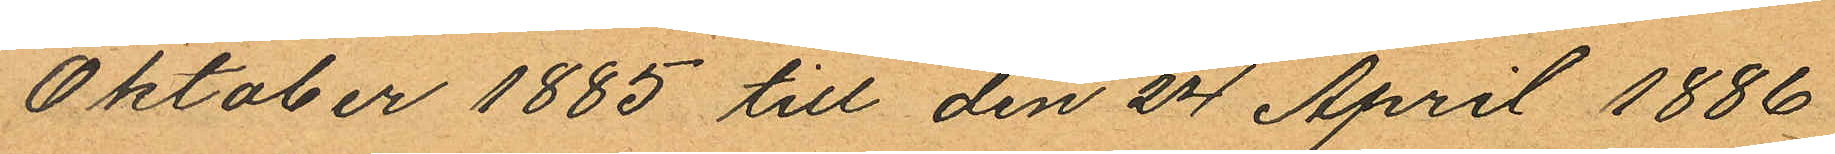Oktober 1885 till den 24 April 1886
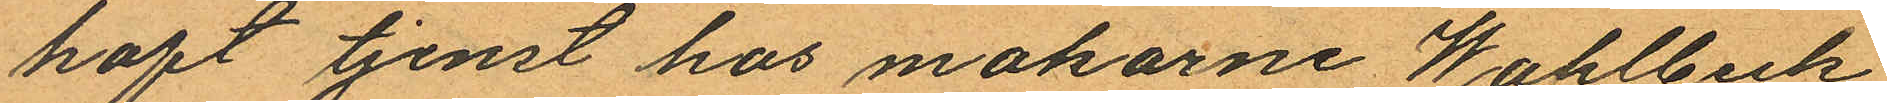haft tjenst hos makarne Wahlbeck,
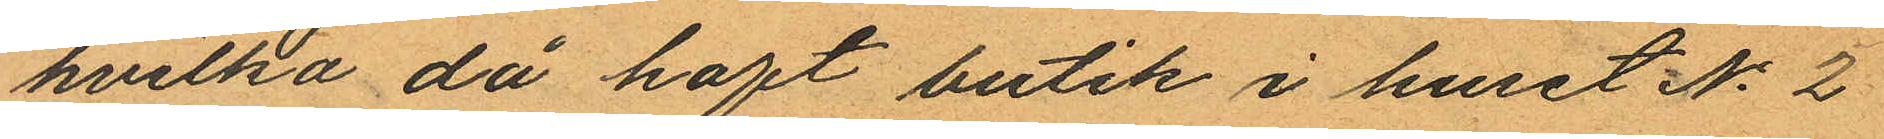hvilka då haft butik i huset No 2
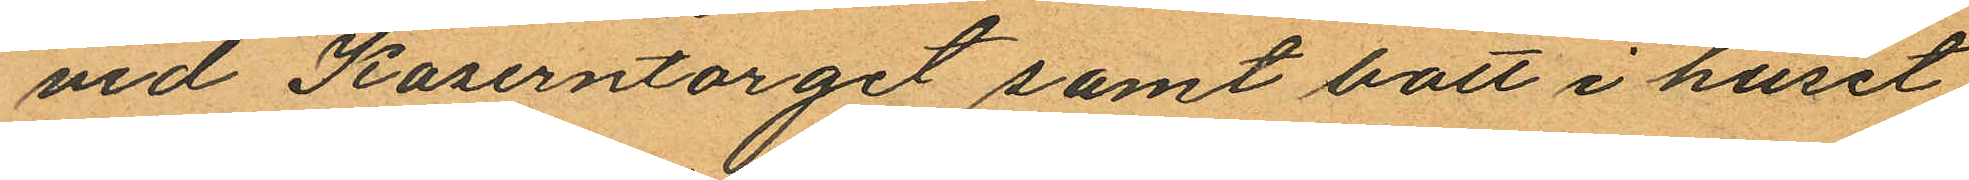vid Kaserntorget samt bott i huset
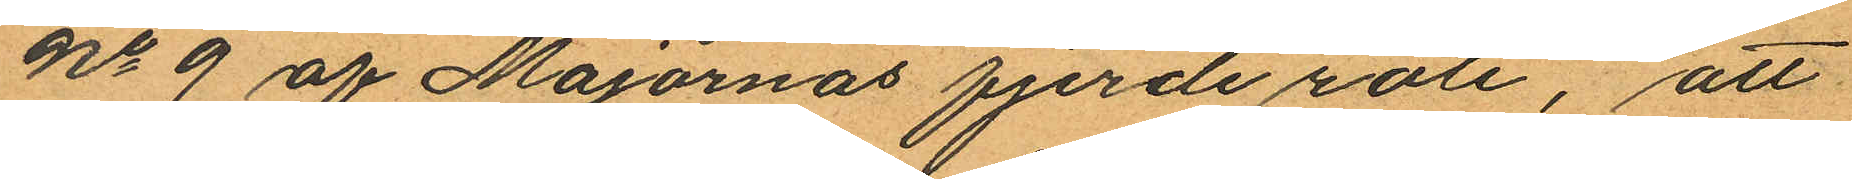No 9 af Majornas fjerde rote, att
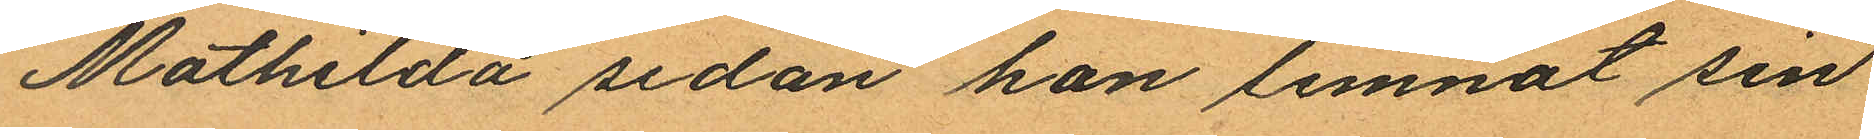Mathilda sedan han lemnat sin
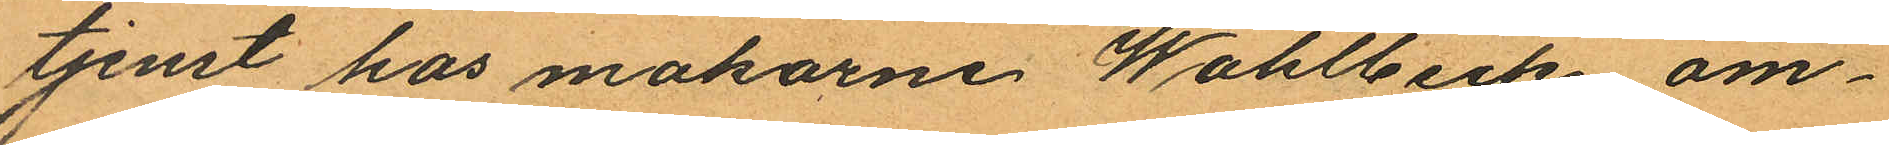tjenst hos makarne Wahlbeck om¬
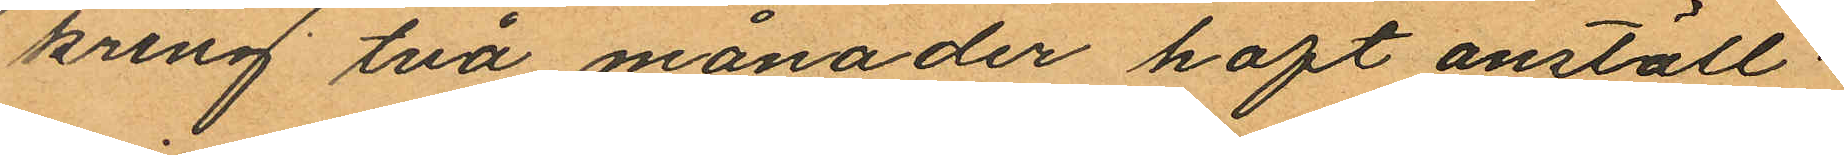kring två månader haft anställ¬
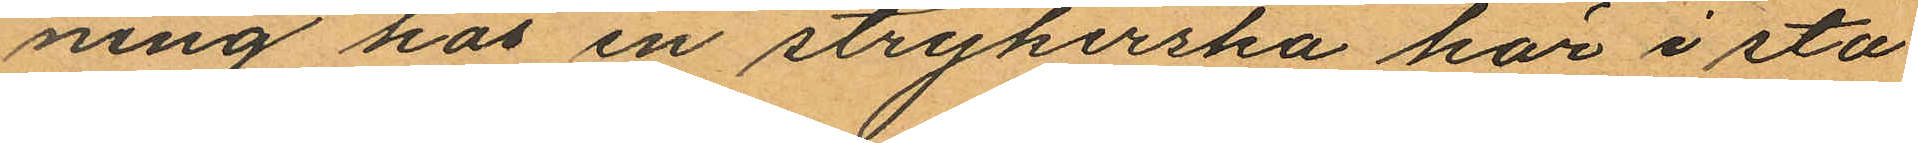ning hos en strykerska här i sta¬
